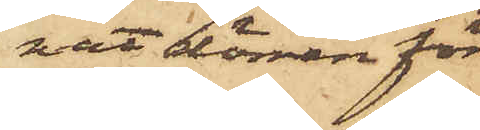nat dörren för
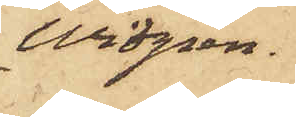Widgren.
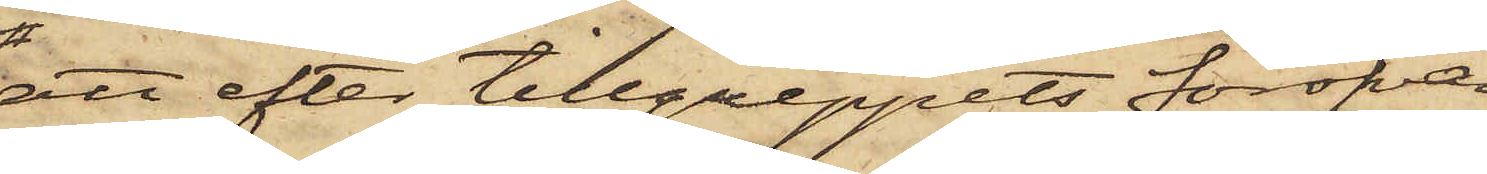att efter tillgreppets föröfvan¬
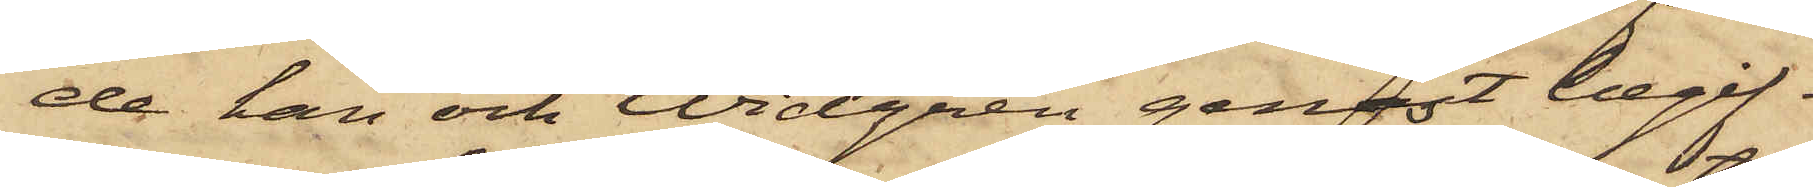de han och Widgren genast begif¬
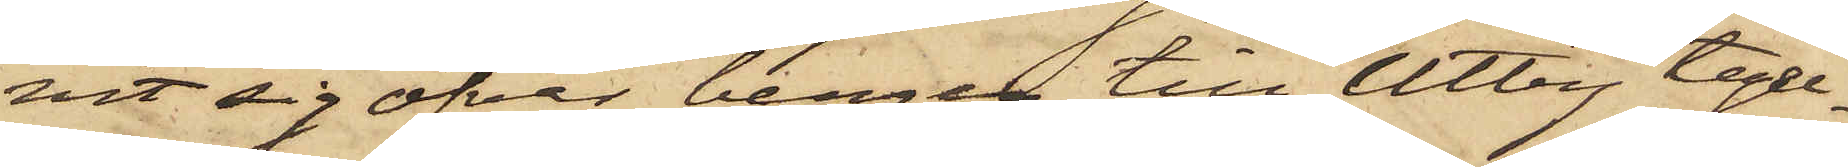vit sig öfver bergen till Utby tegel¬
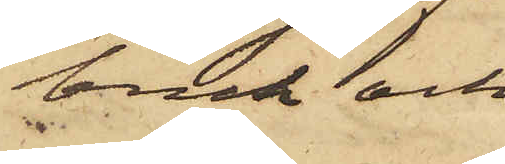bruk och
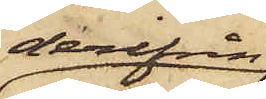derifrån
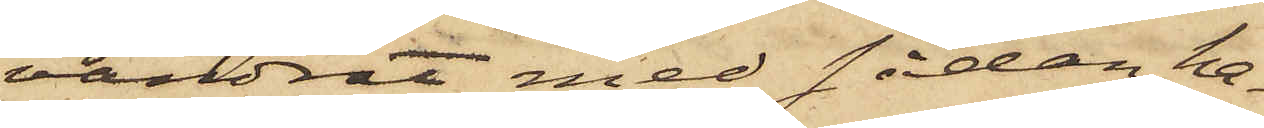vandrat med sådan ha¬
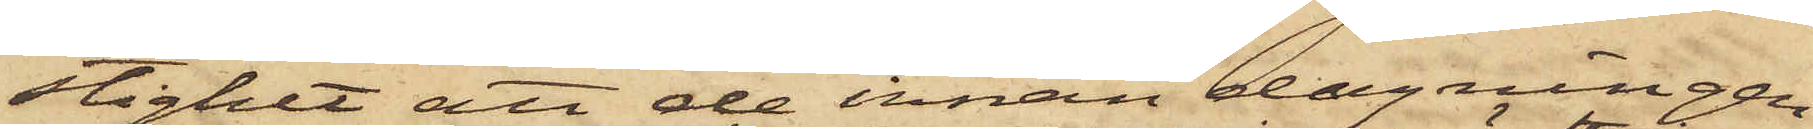stighet att de innan dagningen
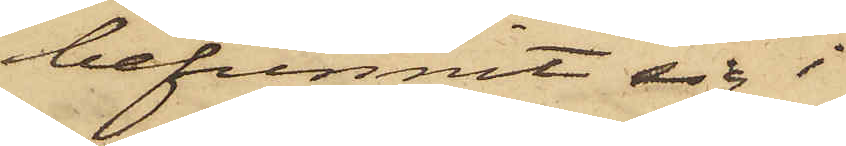befunnit sig i
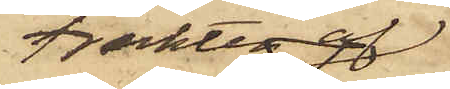trakten af
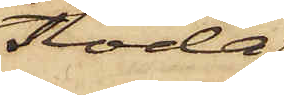Floda
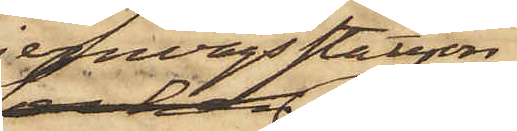jernvägsstation,
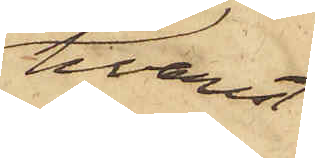hvarest
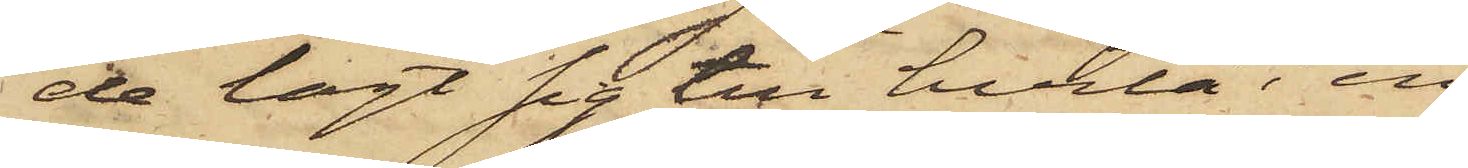de lagt sig till hvila i en
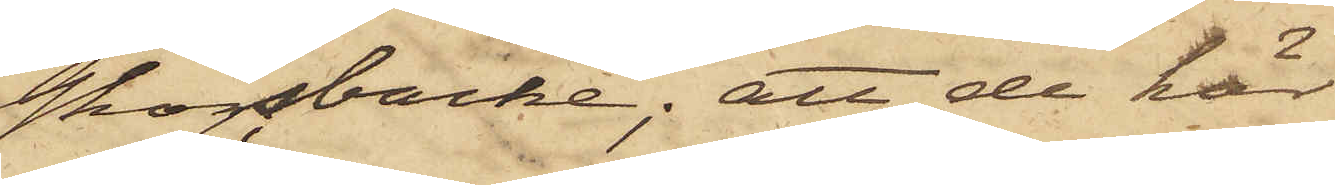skogbacke; att de här
